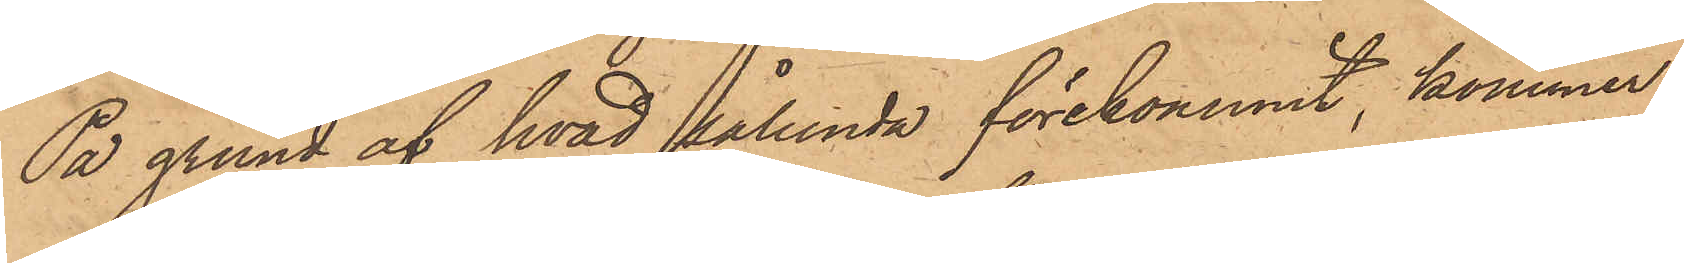På grund af hvad sålunda förekommit, kommer
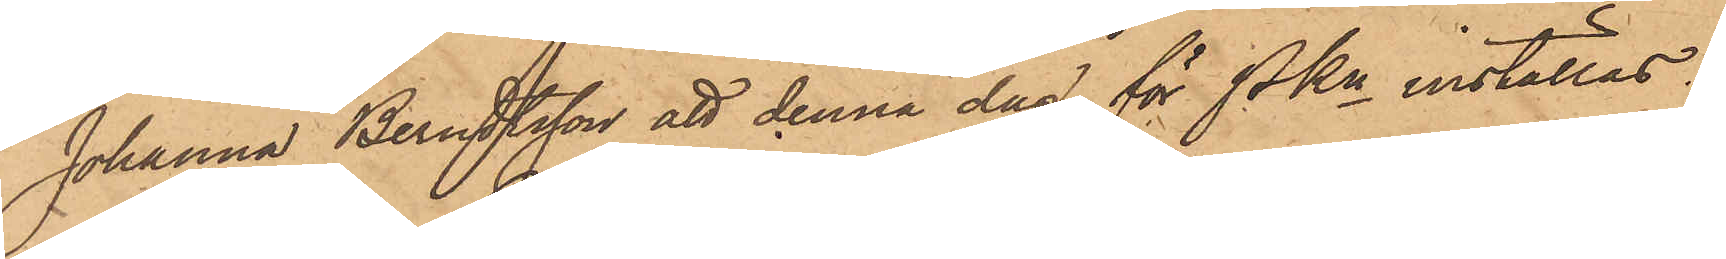Johanna Berndtsson att denna dag för PKn inställas.
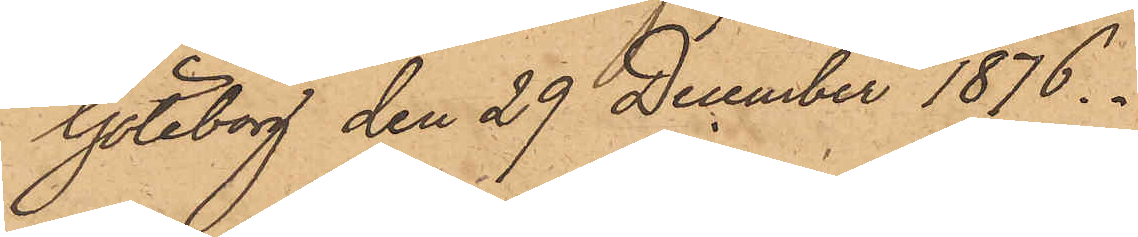Göteborg den 29 December 1876.
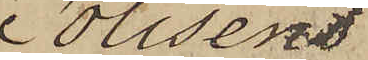Polisens
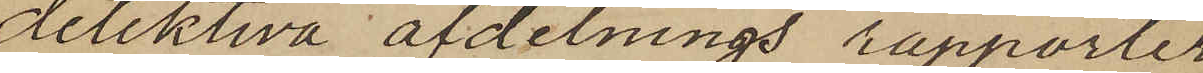detektiva afdelnings rapporter
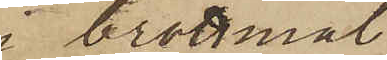i brottmål
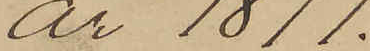år 1877.
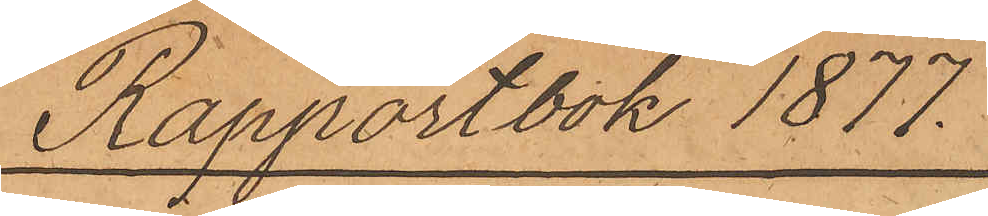Rapportbok 1877.
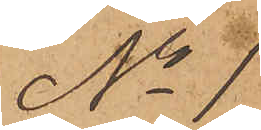No 1
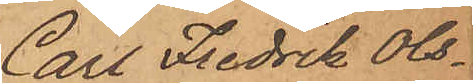Carl Fredrik Ols¬
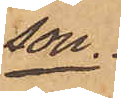son.
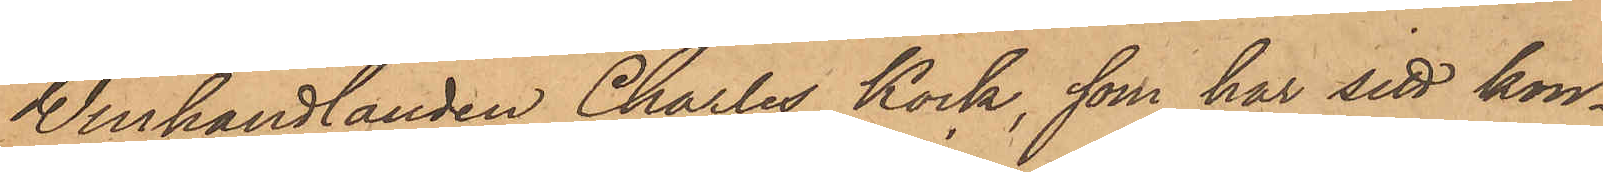Winhandlanden Charles Kock, som har sitt kon¬
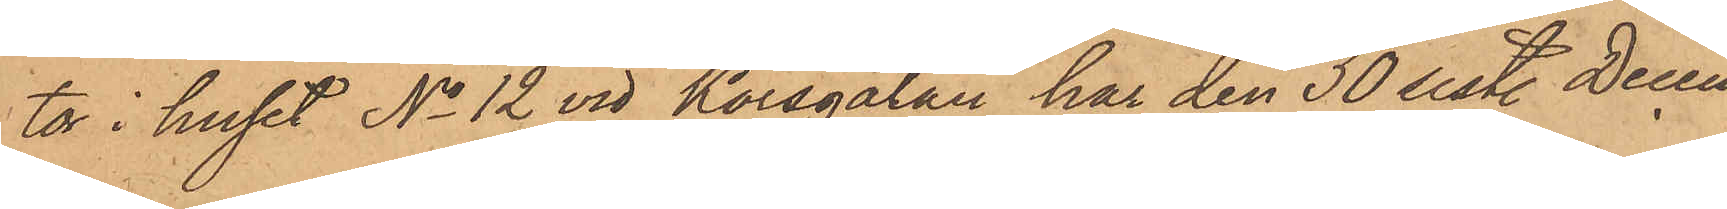tor i huset No 12 vid Korsgatan har den 30 sistl Decem¬
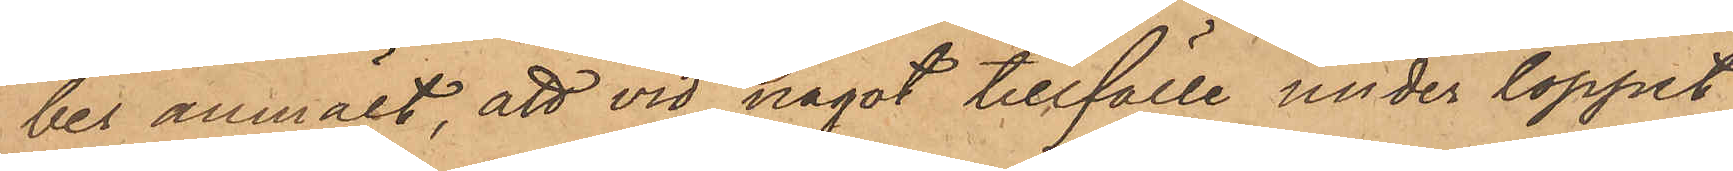ber anmält, att vid något tillfälle under loppet
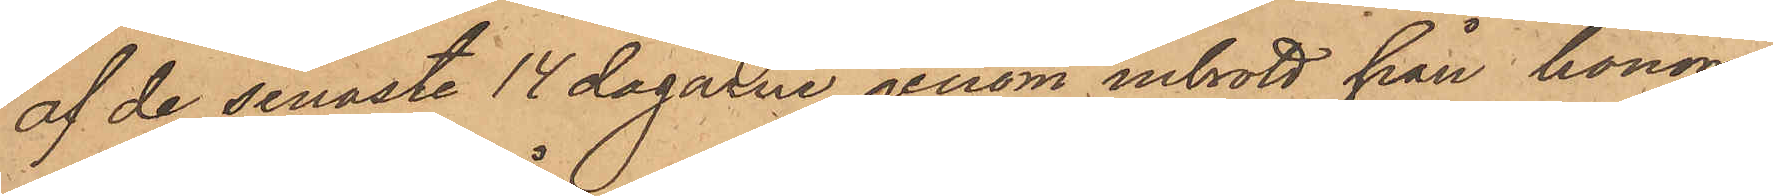af de senaste 14 dagarne genom inbrott från honom
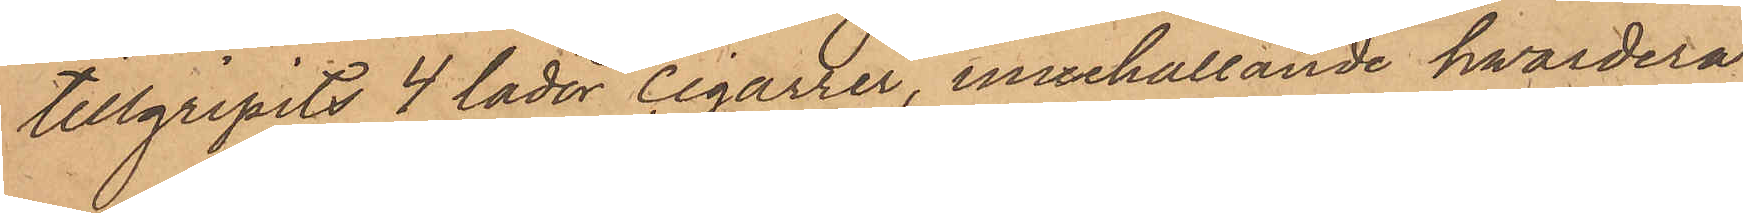tillgripits 4 lådor cigarrer, innehållande hwardera
